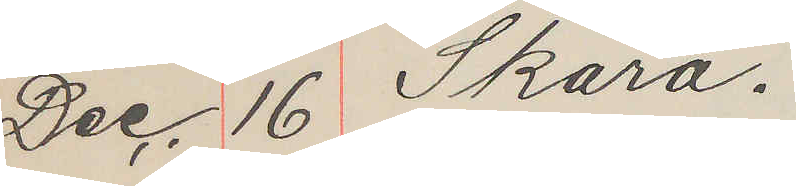Dec. 16 Skara.
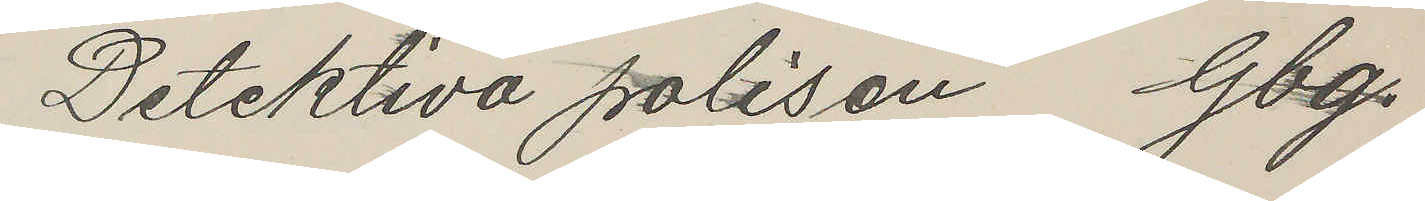Detektiva polisen Gbg.
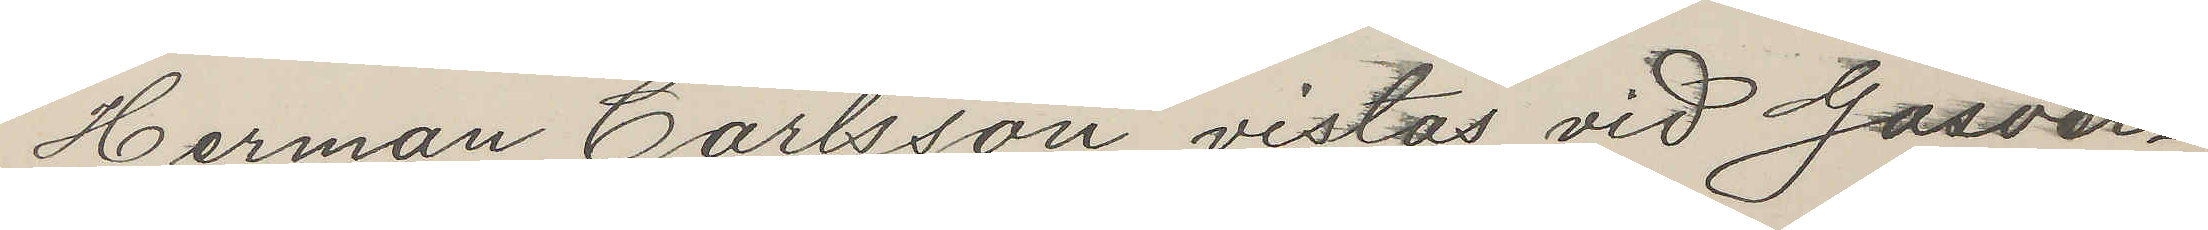Herman Carlsson vistas vid Gasver¬
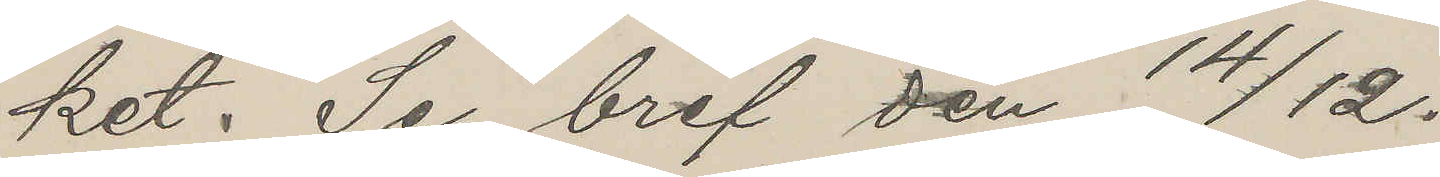ket. Se bref den 14/12.
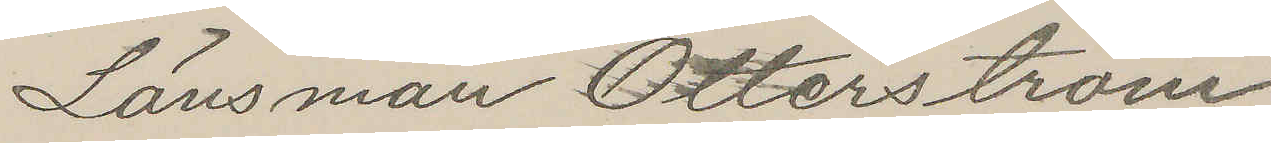Länsman Otterström
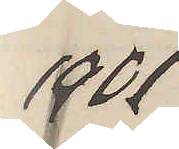1901
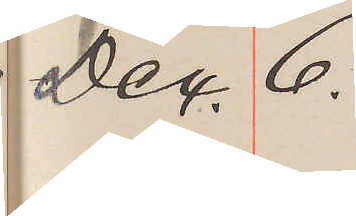Dec 6.
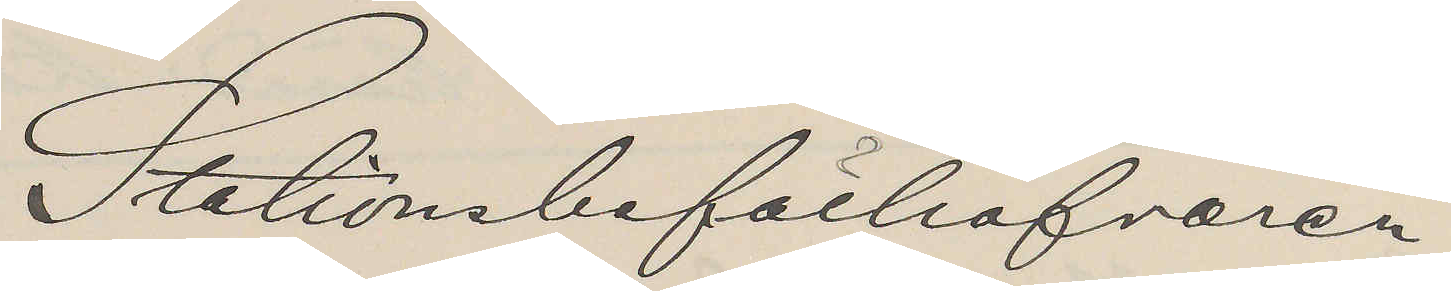Stationsbefälhafvaren
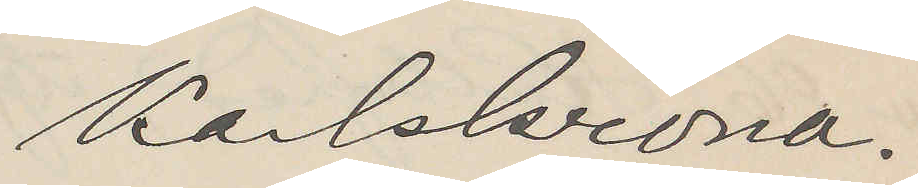Karlskrona.
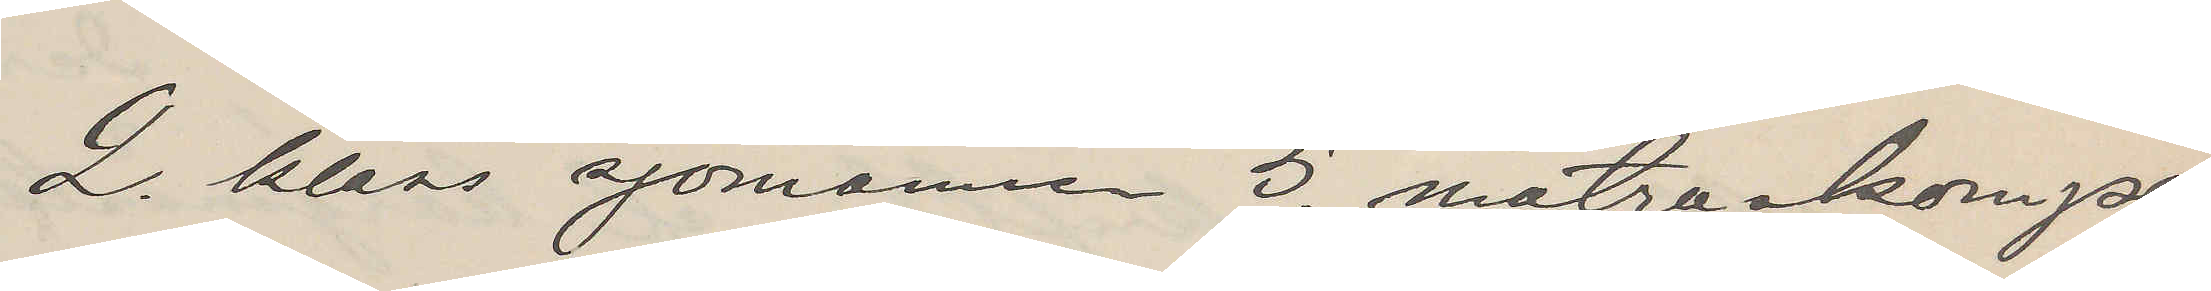2. klass sjömannen 5. matroskompa¬
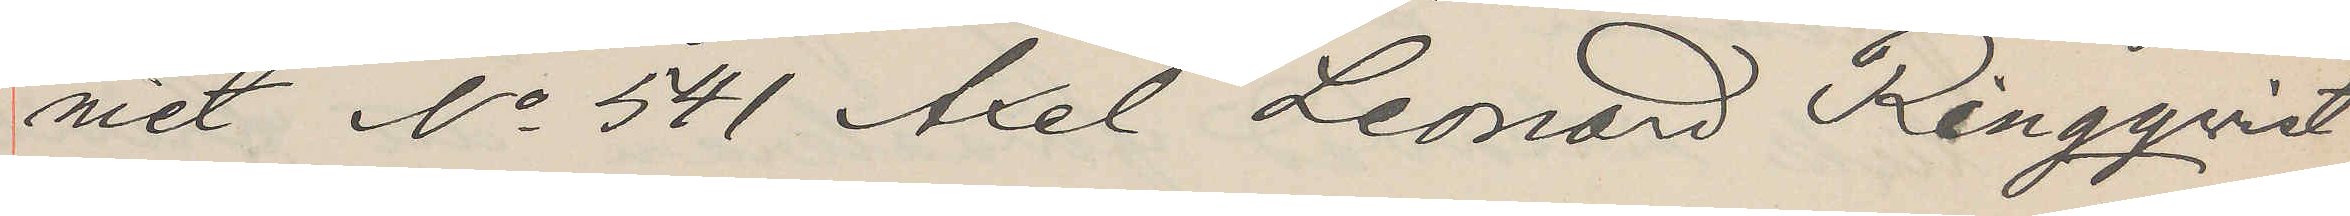niet No 541 Axel Leonard Ringqvist
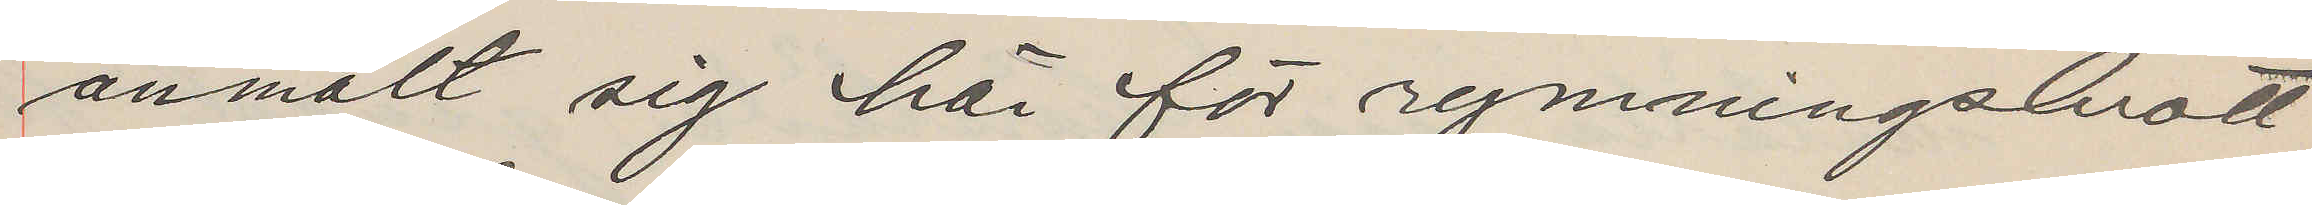anmält sig här för rymningsbrott
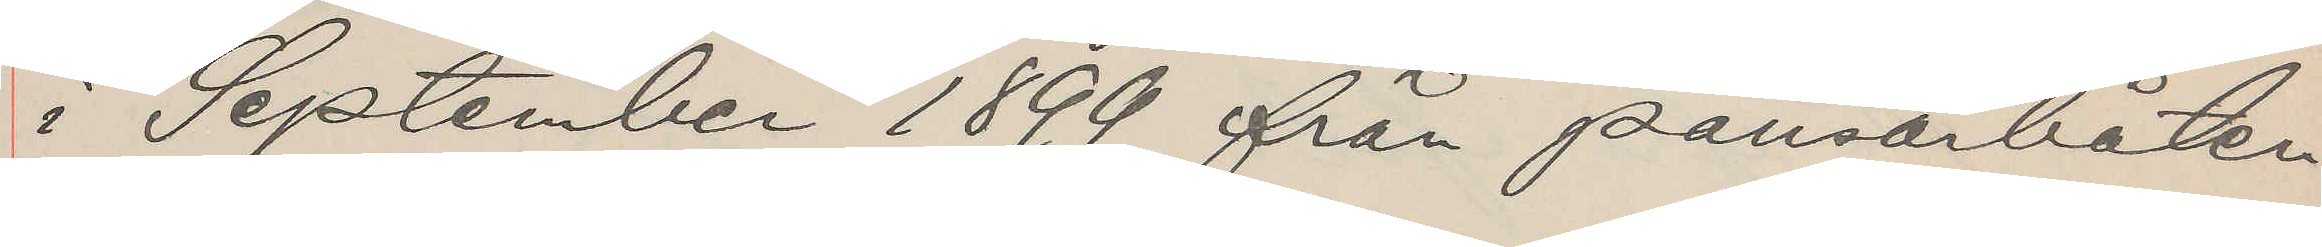i September 1899 från pansarbåten
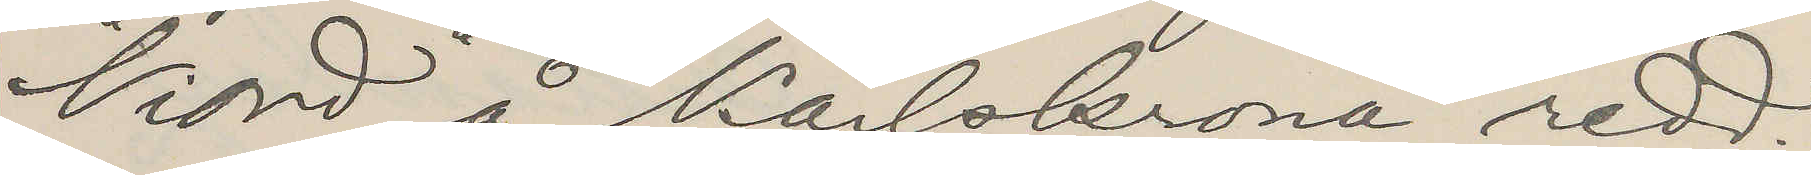"Niord" å Karlskrona redd.
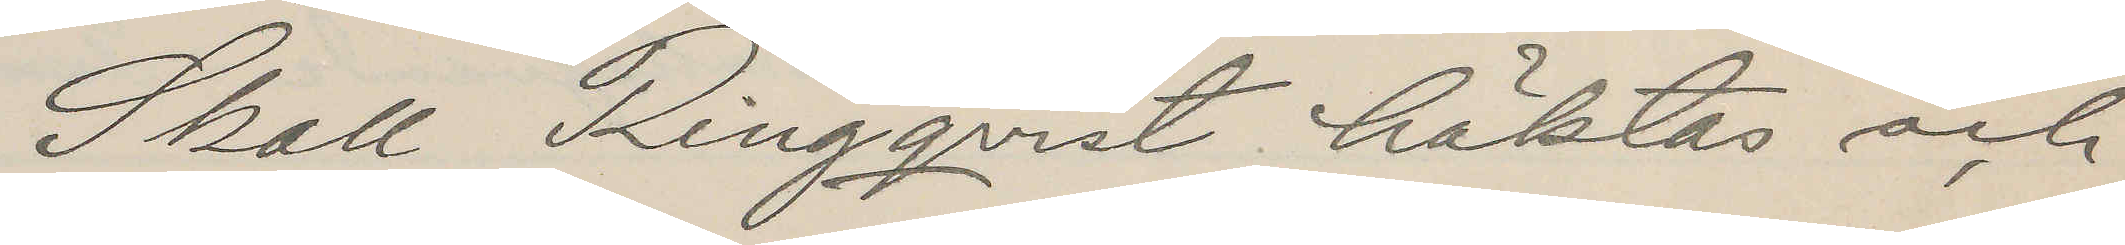Skall Ringqvist häktas och
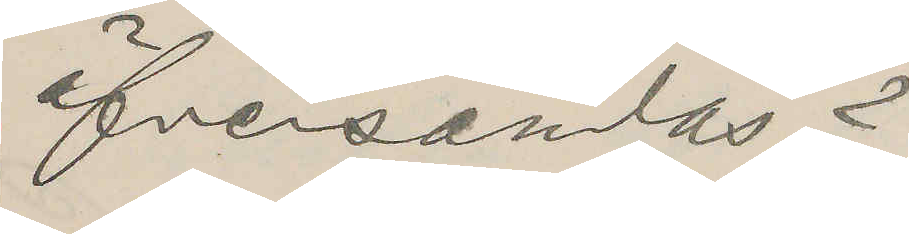öfversändas?
